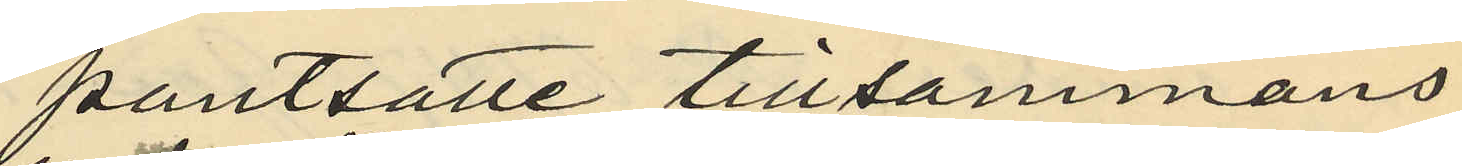pantsatte tillsammans
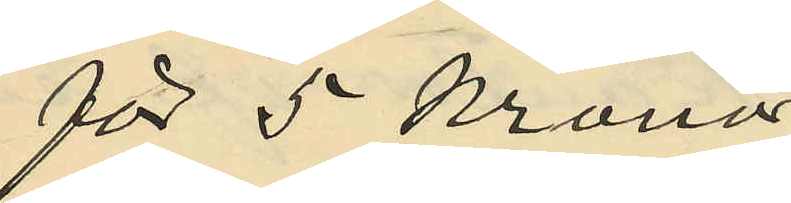för 5 kronor
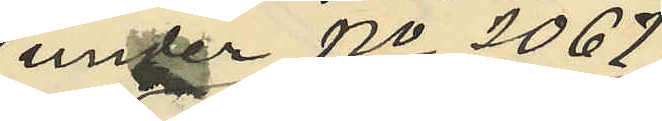under No 2067
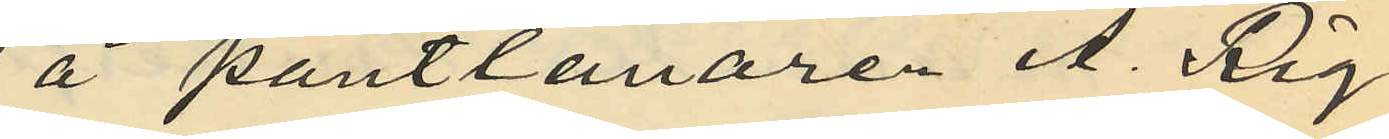å pantlånaren A. Rig¬
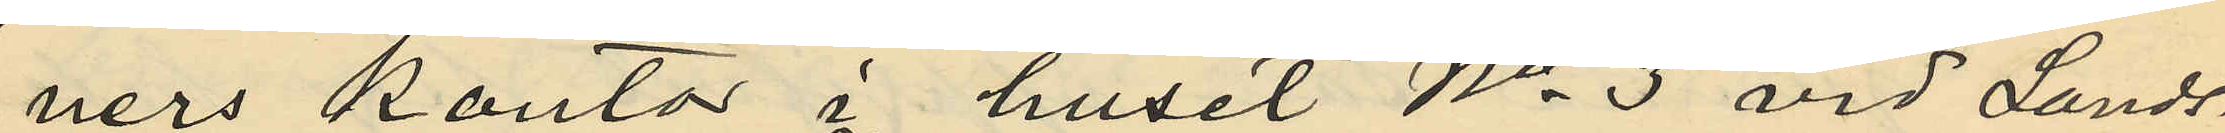ners kontor i huset No 3 vid Lands¬
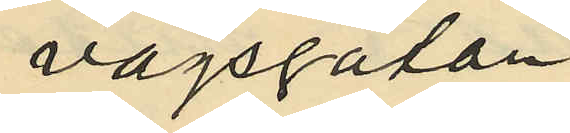vägsgatan
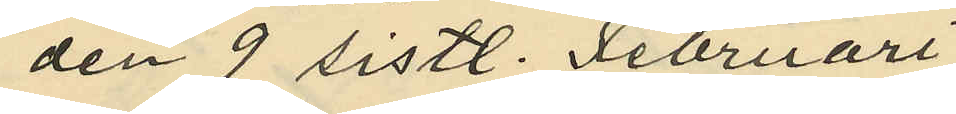den 9 sistl. Februari
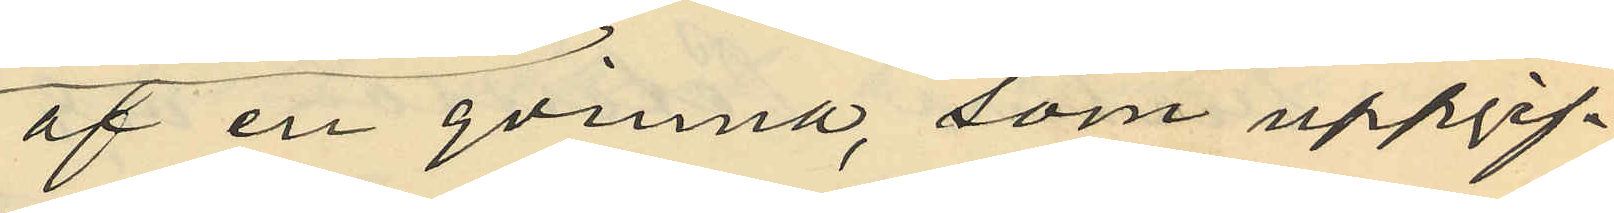af en qvinna, som uppgif¬
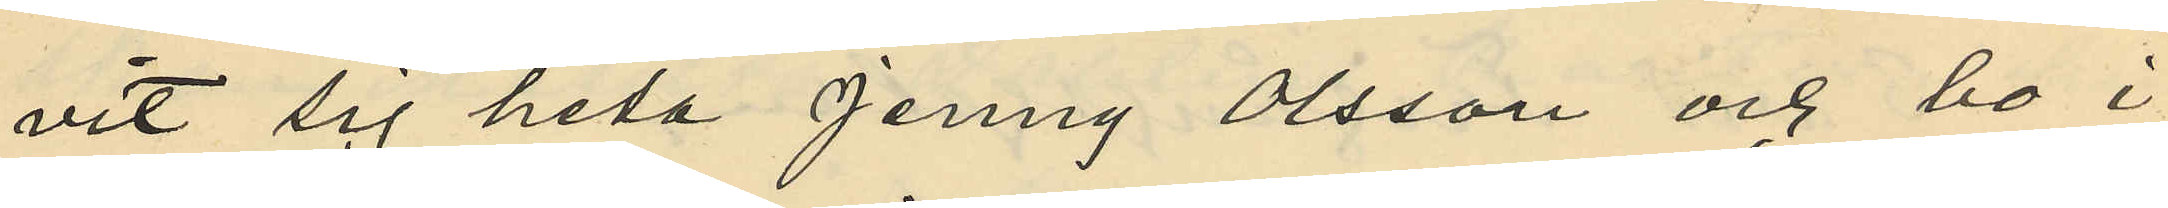vit sig heta Jenny Olsson och bo i
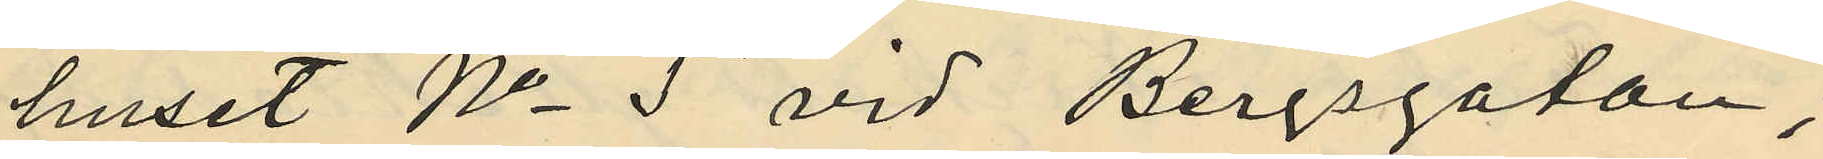huset No 5 vid Bergsgatan,
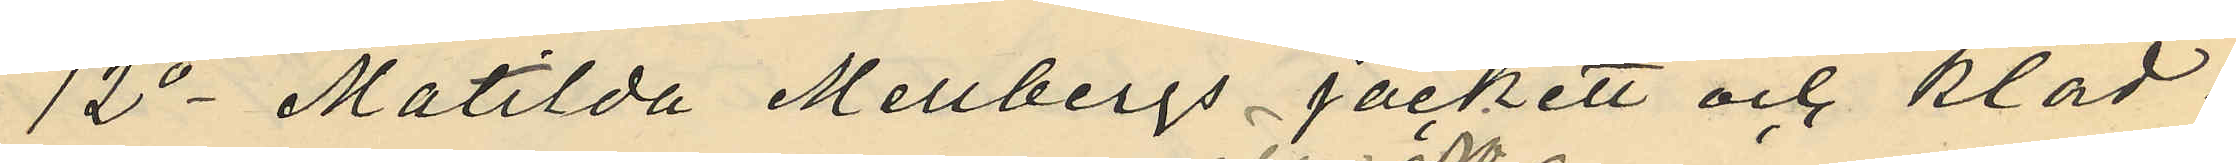12o Matilda Mellbergs jackett och kläd¬
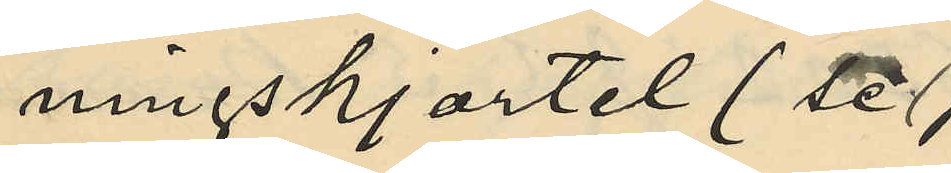ningskjortel (se
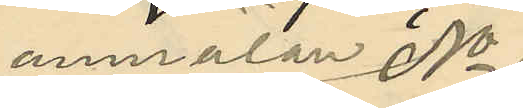anmälan No
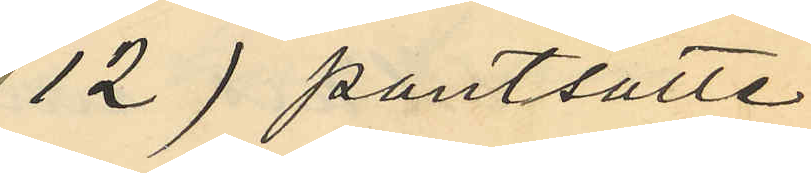12) pantsatte
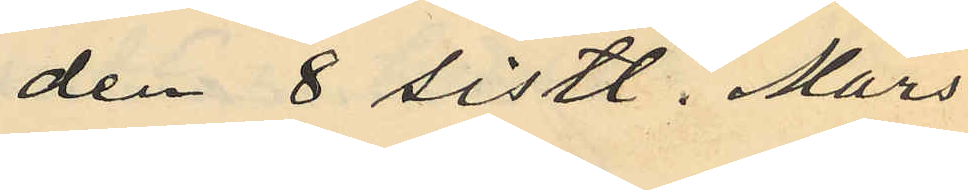den 8 sistl. Mars
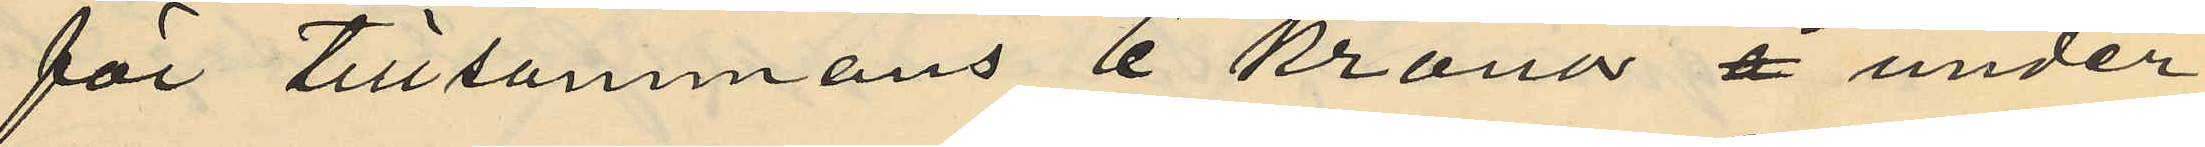för tillsammans 6 kronor å under
